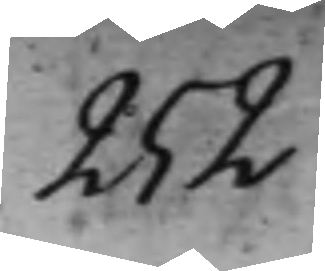252
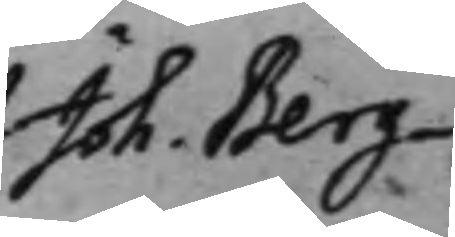Joh. Berg¬
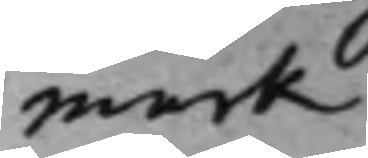mark
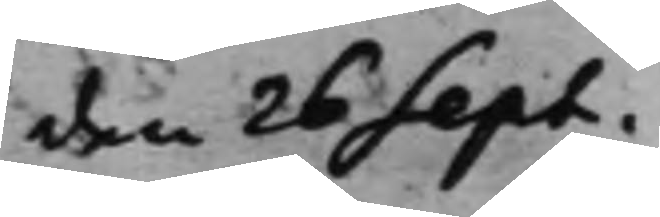den 26 Sept.
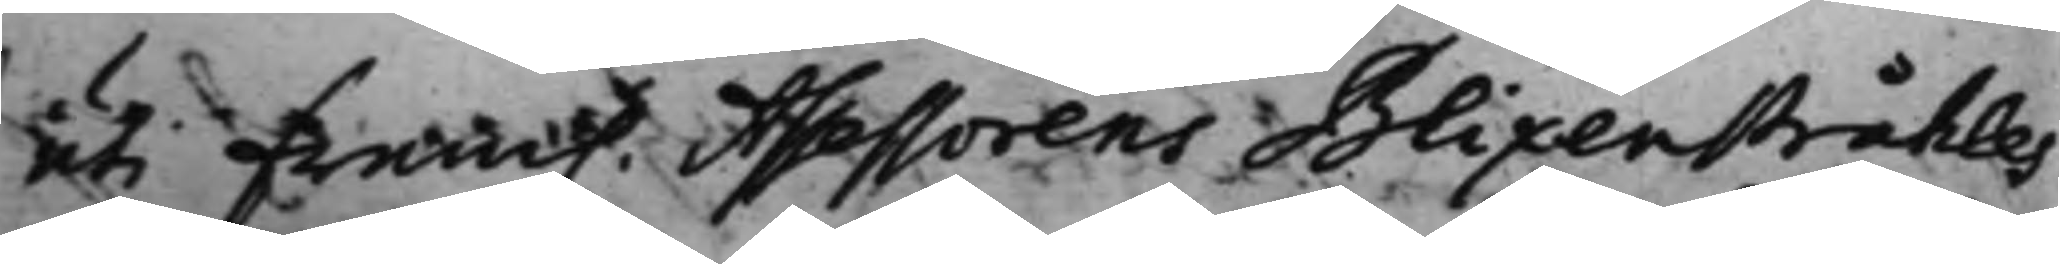uti fram. Assessorens Blixenstråhles
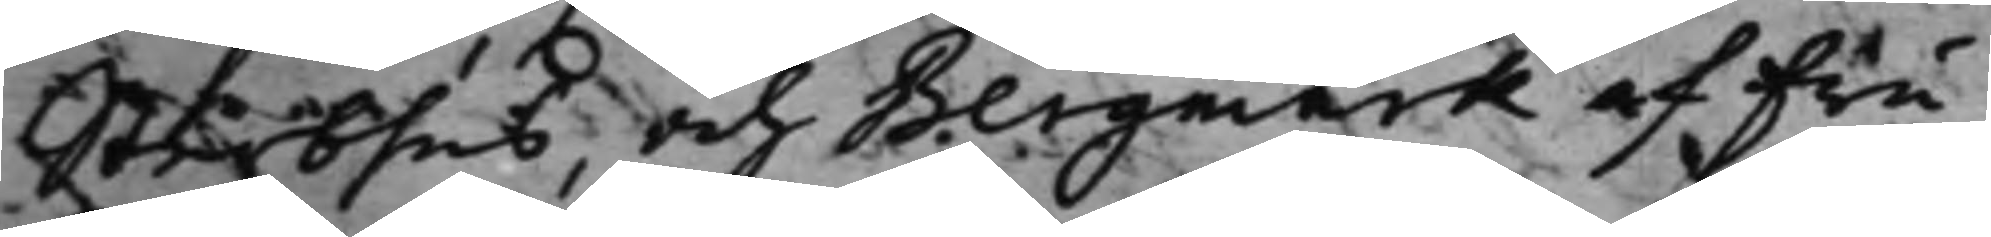Sterbhus, och Bergmark af Fru
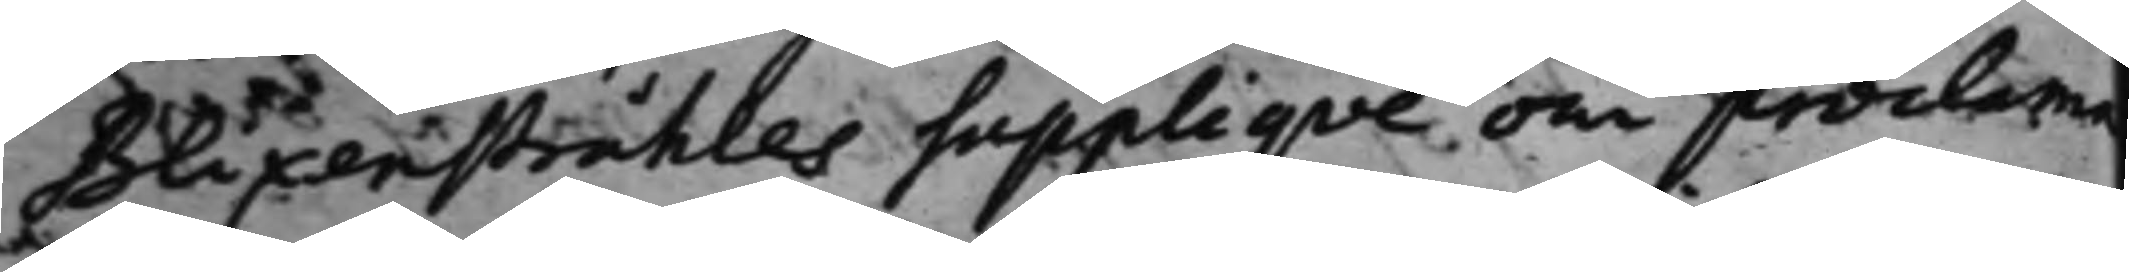Blixenstråhles Suppliqve om proclama
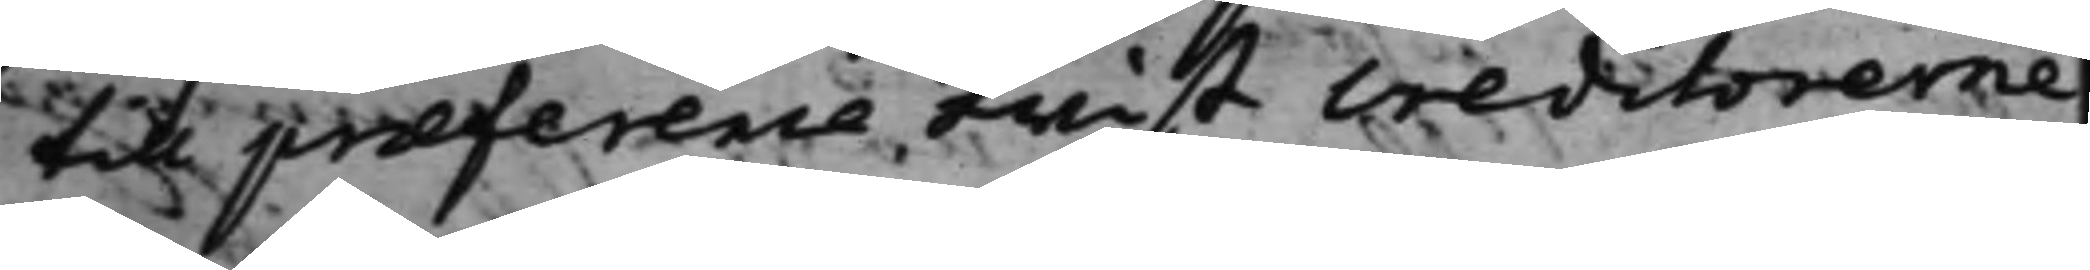till præference twist Creditorerne
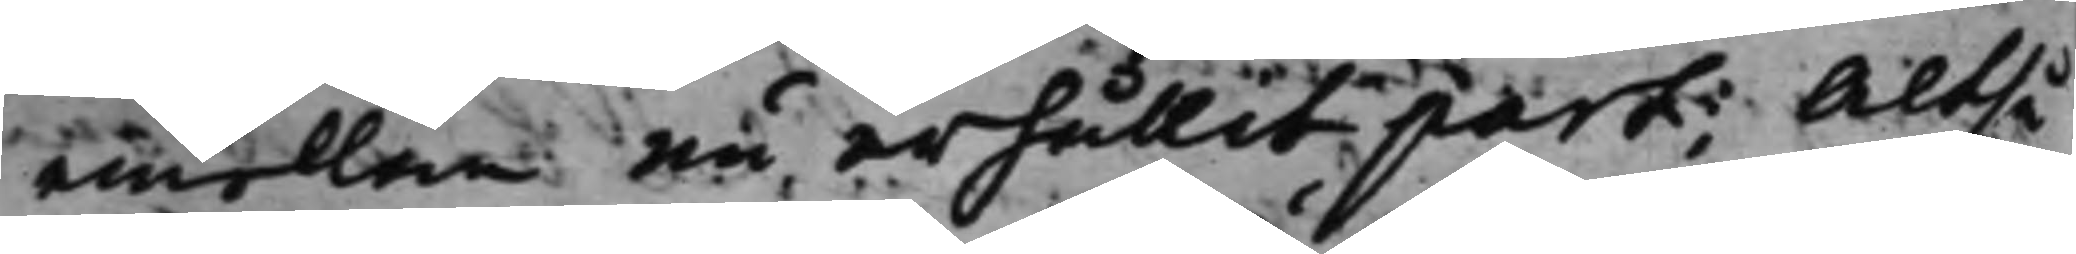emellan nu erhållit part; Altså
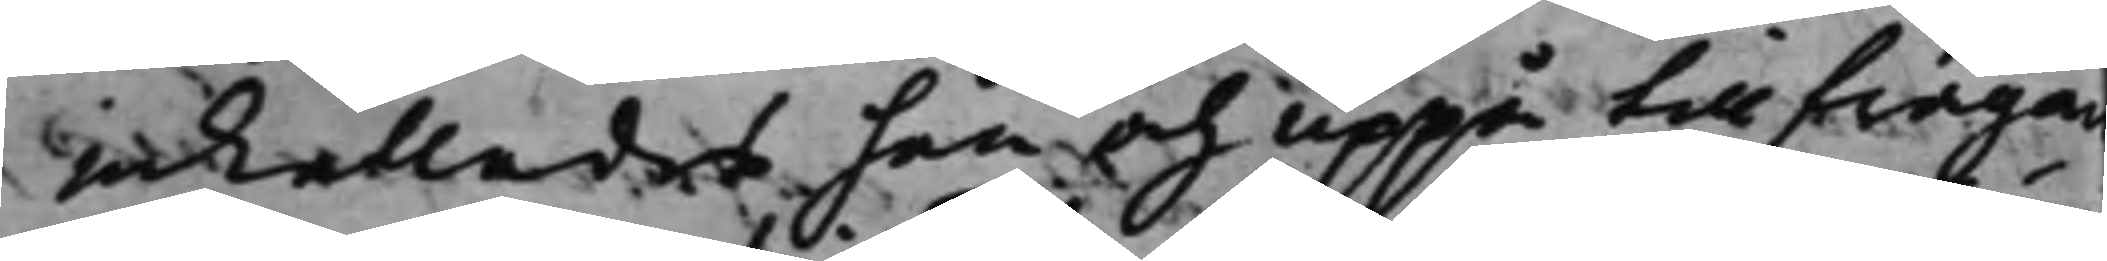inkallades han och uppå tillfrågan
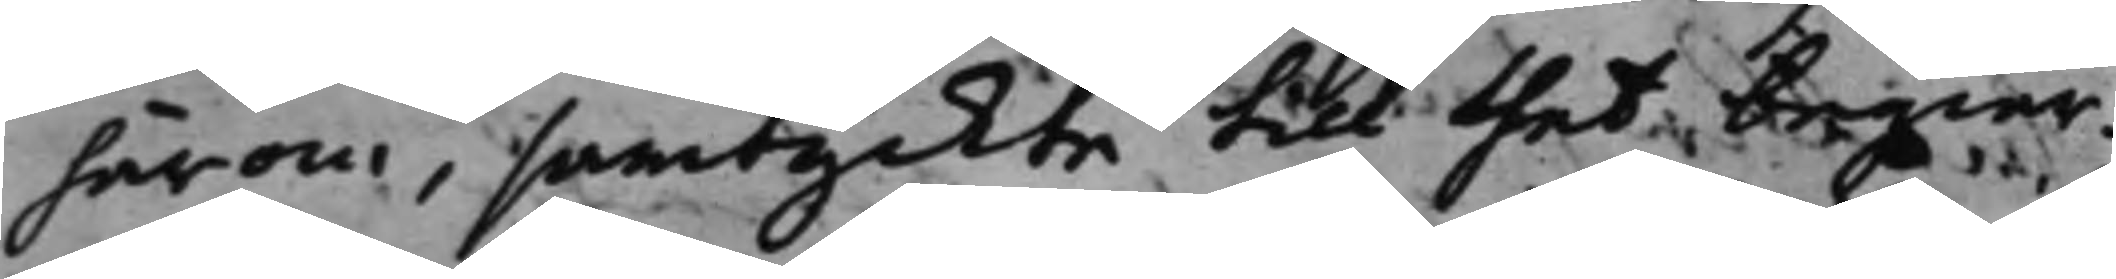härom, samtyckte till thet begiär¬
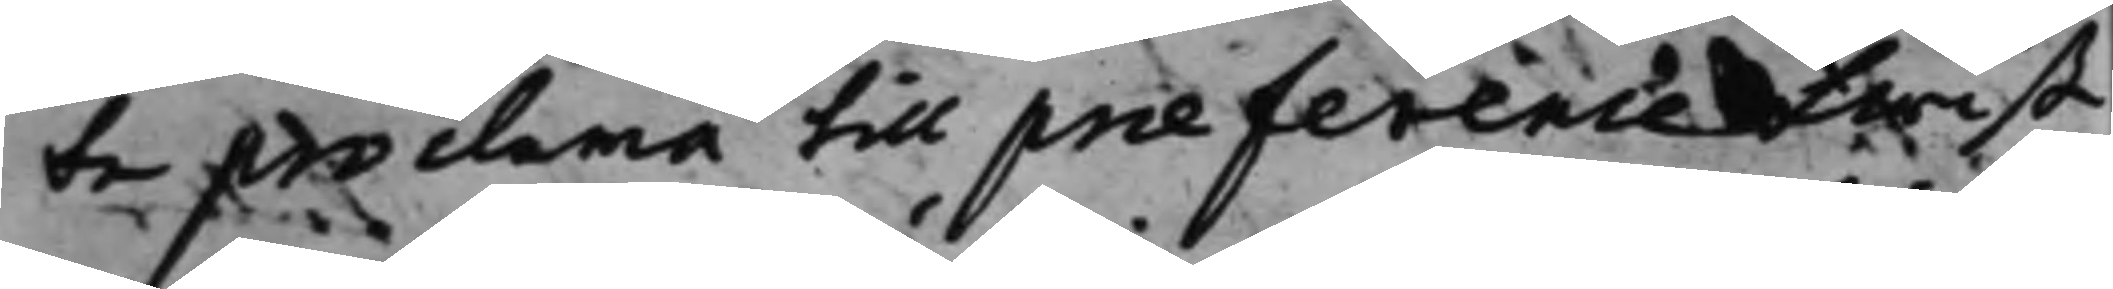te proclama till præference twist
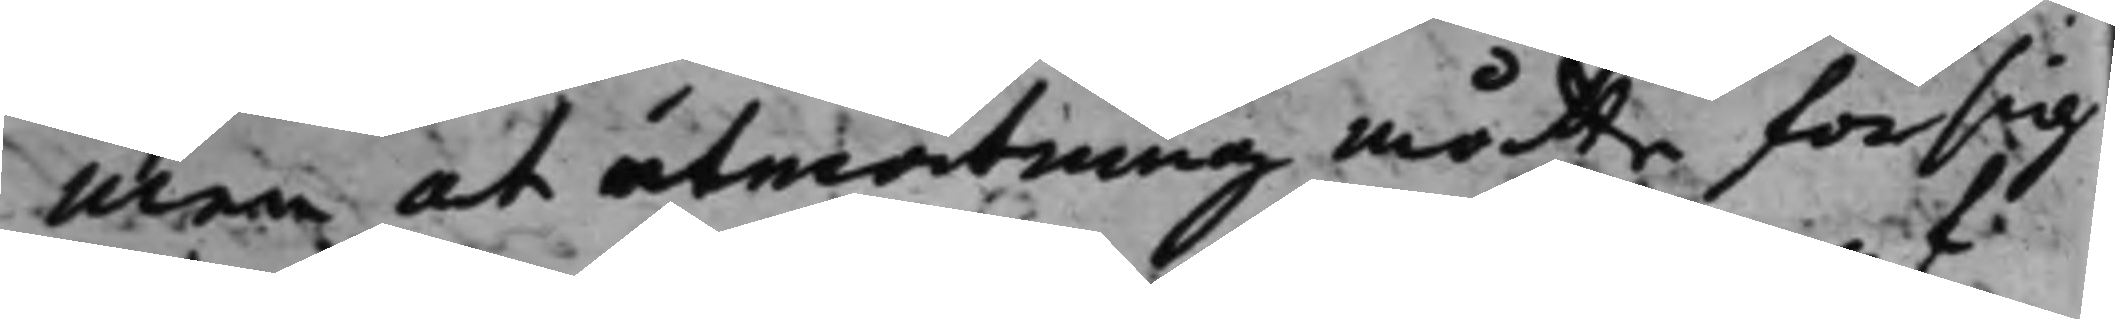men at utmättning måtte försig¬
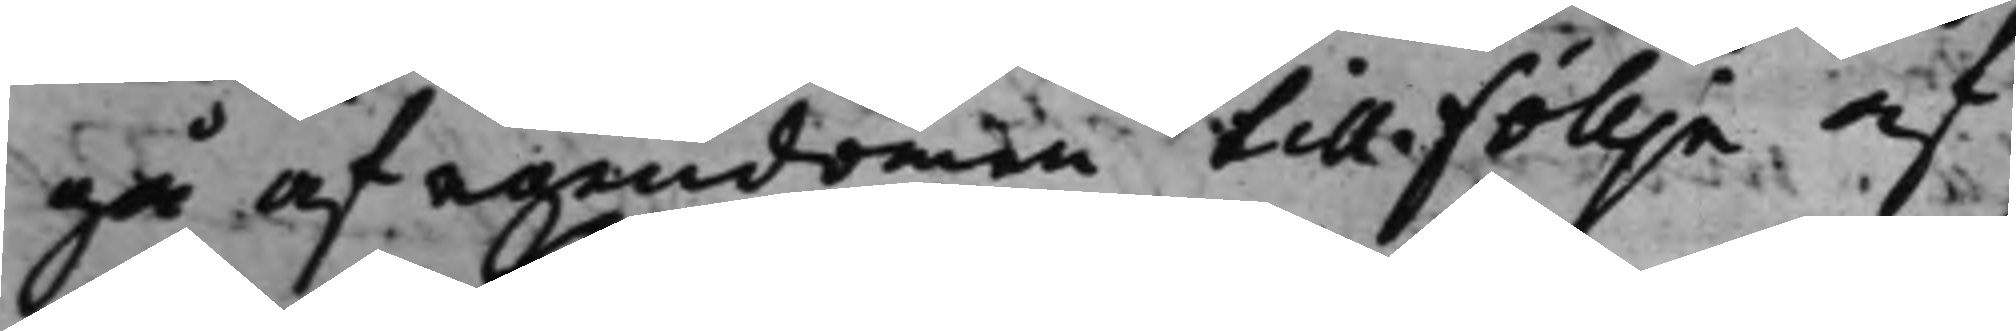gå af egendomen till föllje af
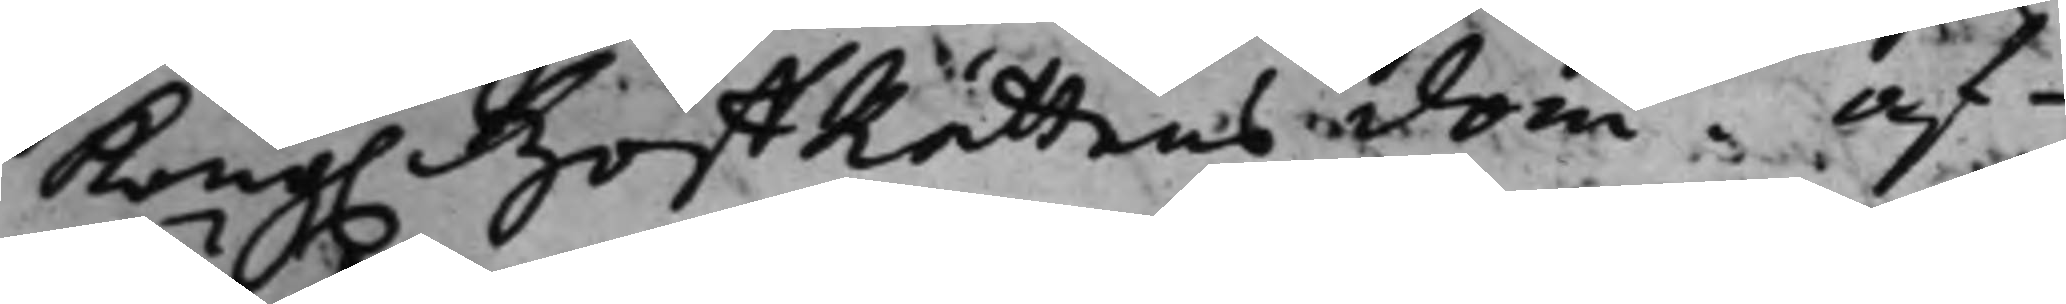Kong. HoffRättens dom. Af¬
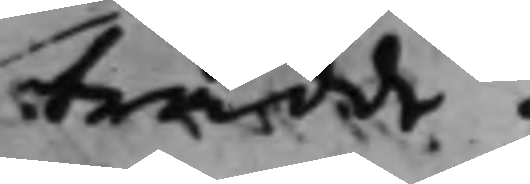trädde.
